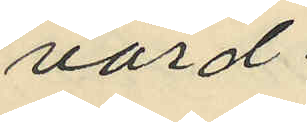värd
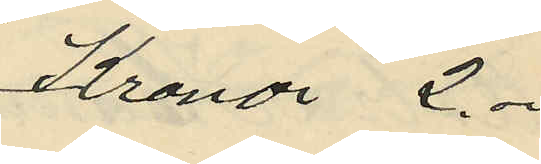Kronor 2.
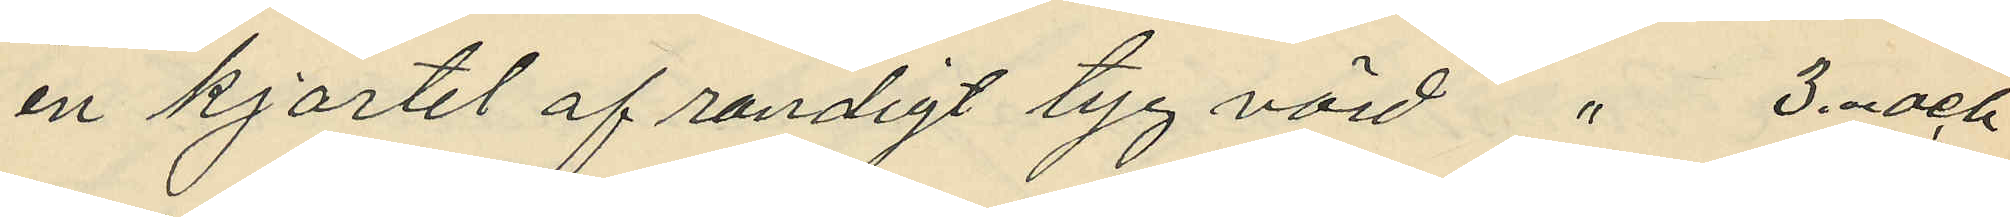en kjortel af randigt tyg värd " 3. och
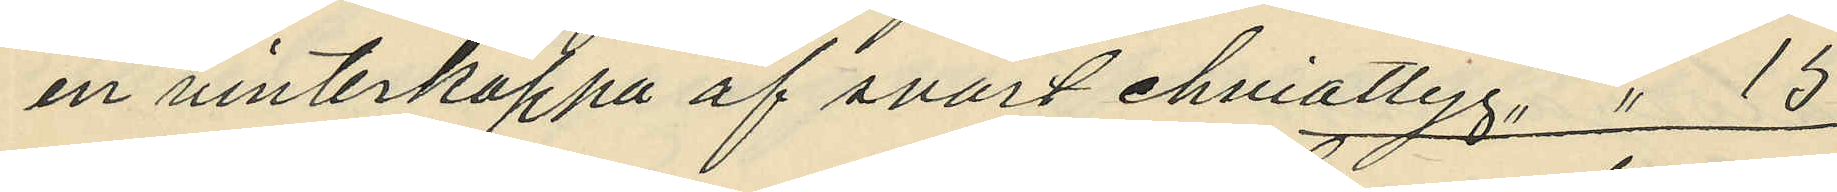en vinterkappa af svart cheviottyg " 15
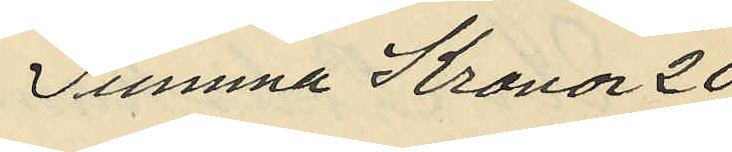Summa Kronor 20
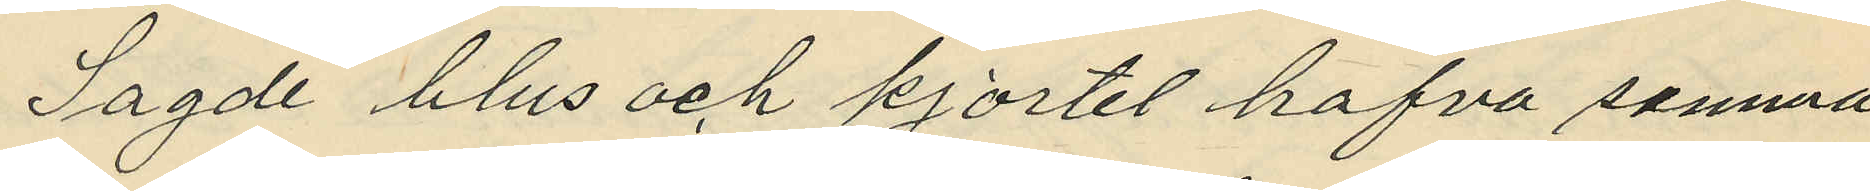Sagde blus och kjortel hafva samma
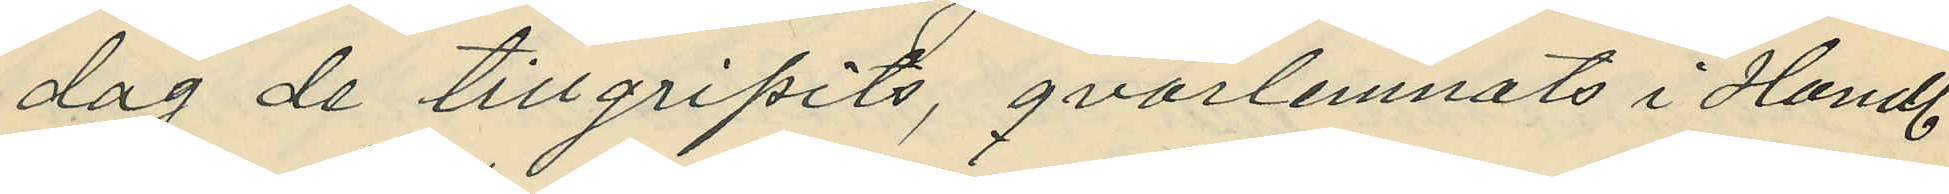dag de tillgripits, qvarlemnats i Handl.
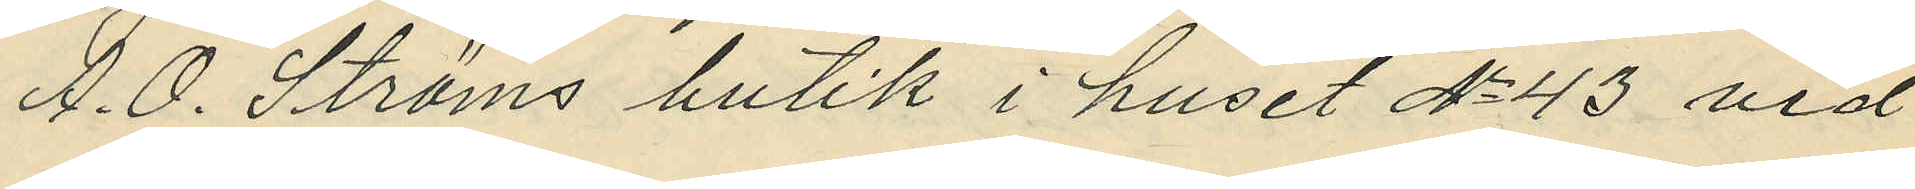A. O. Ströms butik i huset No 43 vid
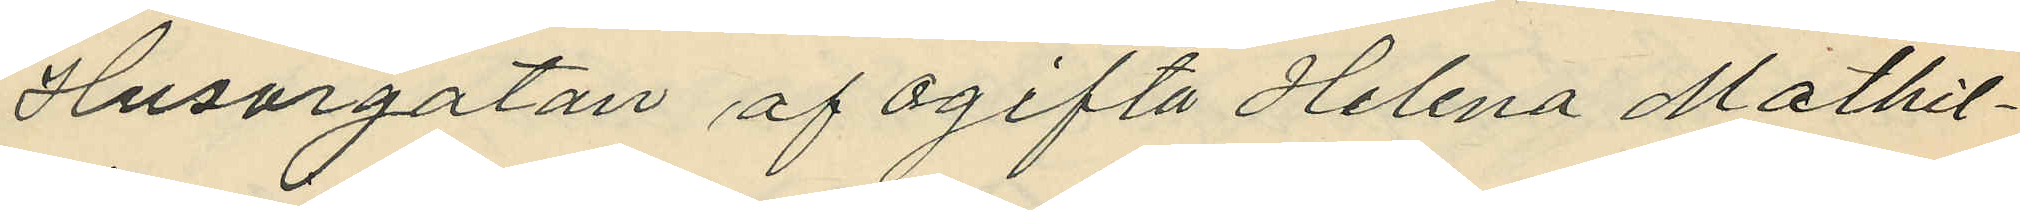Husargatan af ogifta Helena Mathil¬
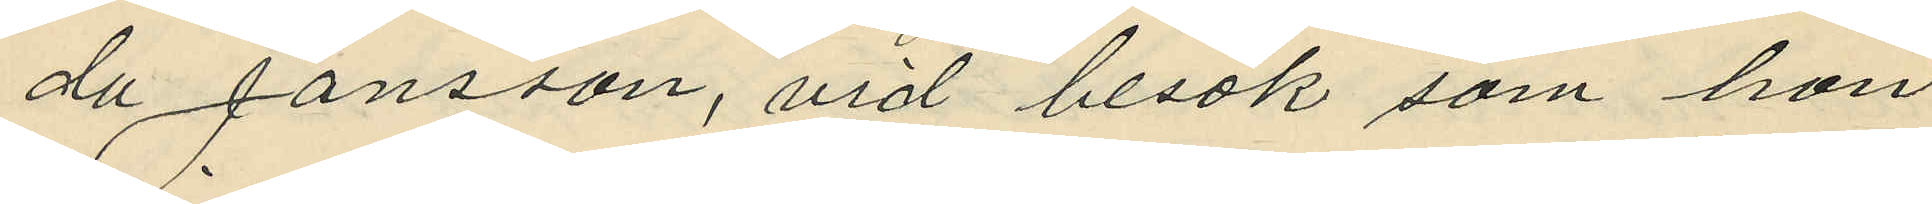da Jansson, vid besök som hon
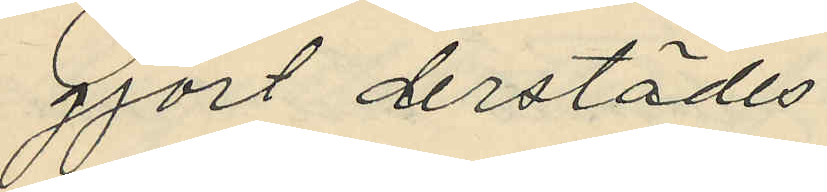gjort derstädes.
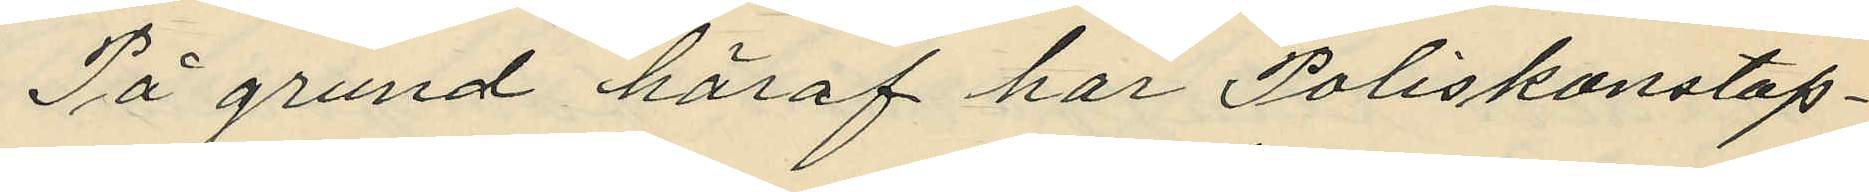På grund häraf har Poliskonstap¬
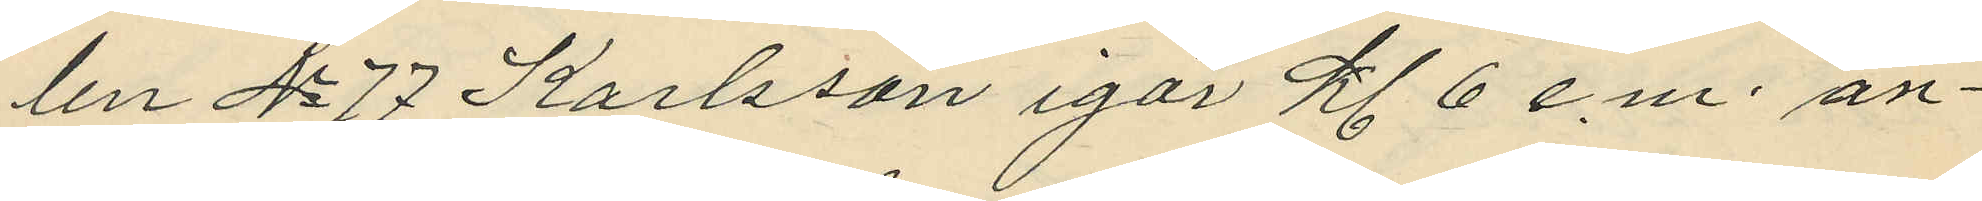len No 77 Karlsson igår kl 6 e.m. an¬
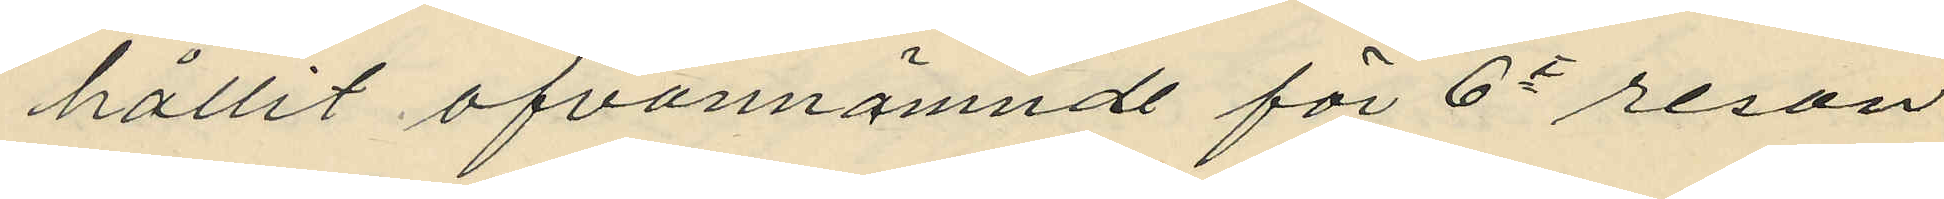hållit ofvannämnde för 6e resan
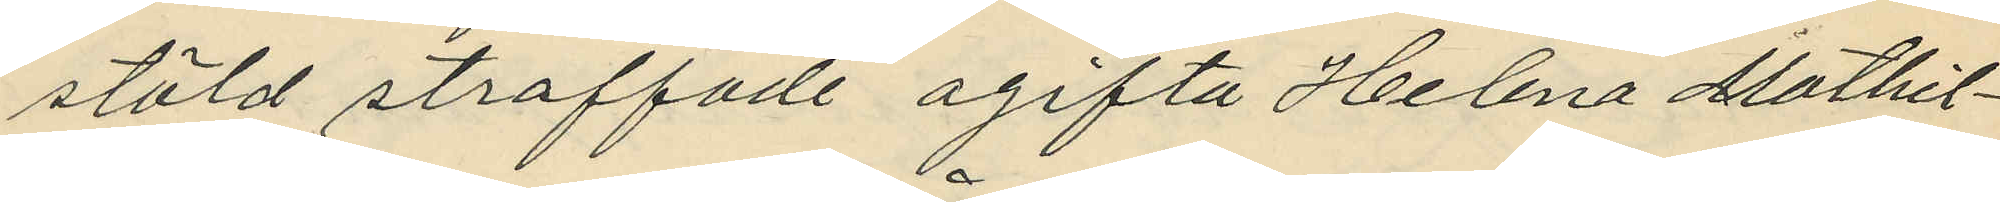stöld straffade ogifta Helena Mathil¬
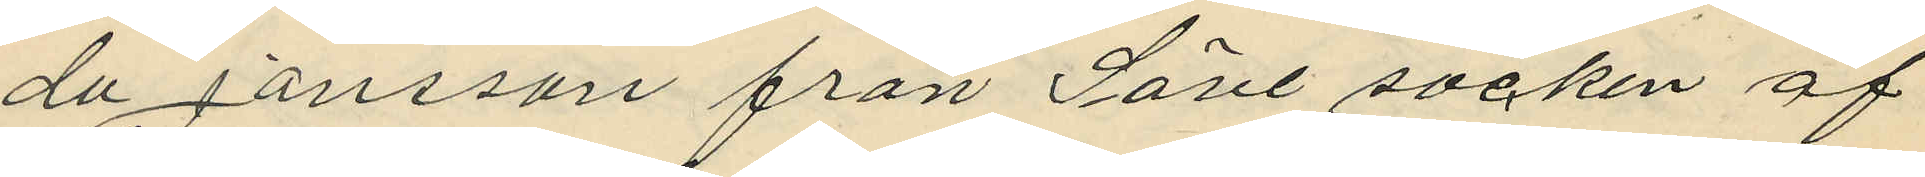da Jansson från Säve socken af
